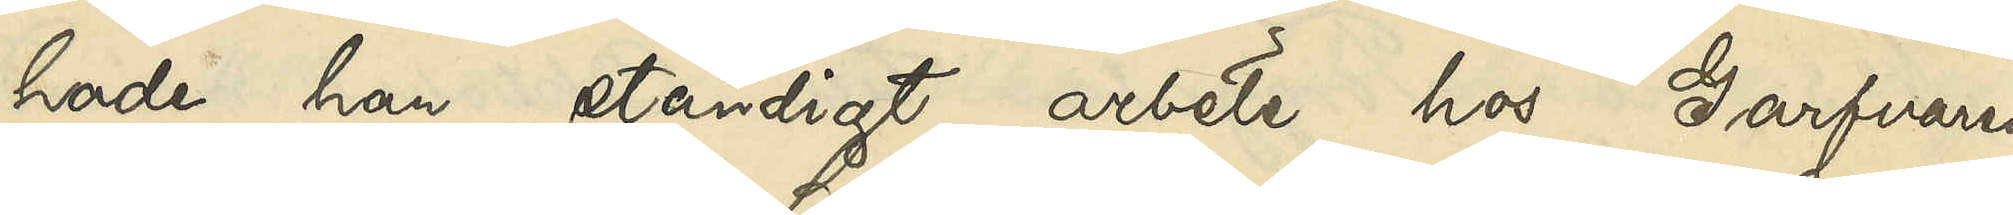hade han ständigt arbete hos Garfvaren
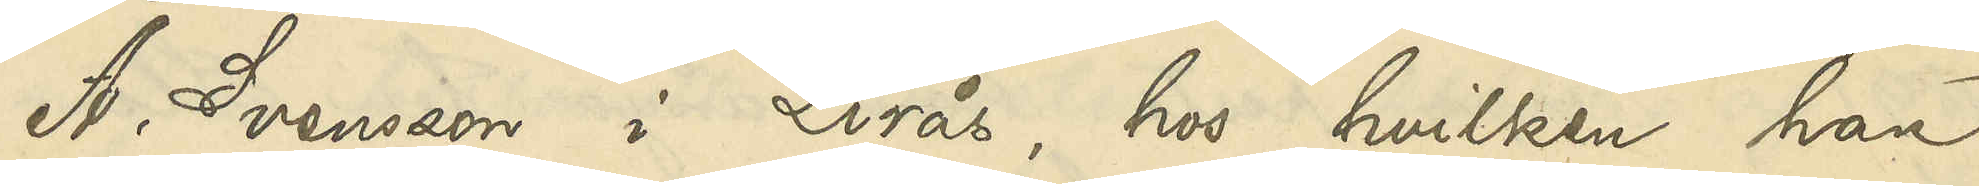A. Svensson i Linås, hos hvilken han
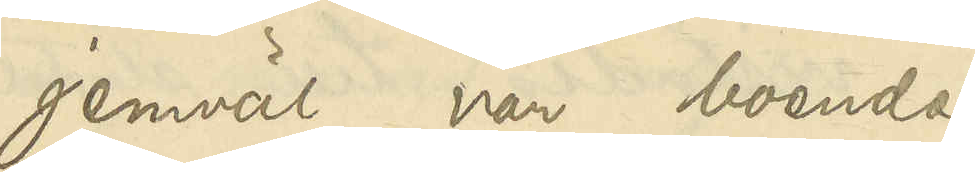jemväl var boende.
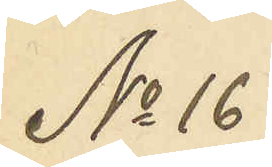No 16
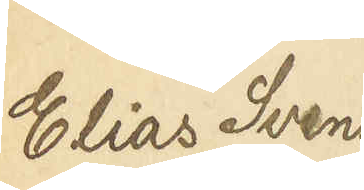Elias Svens¬
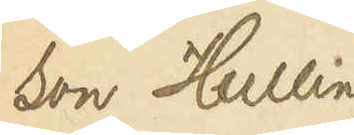son Hulling
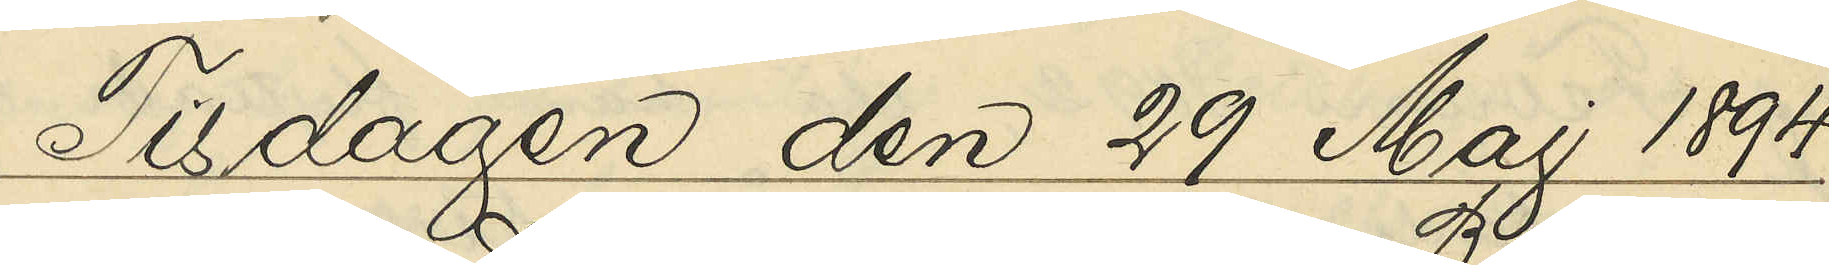Tisdagen den 29 Maj 1894.
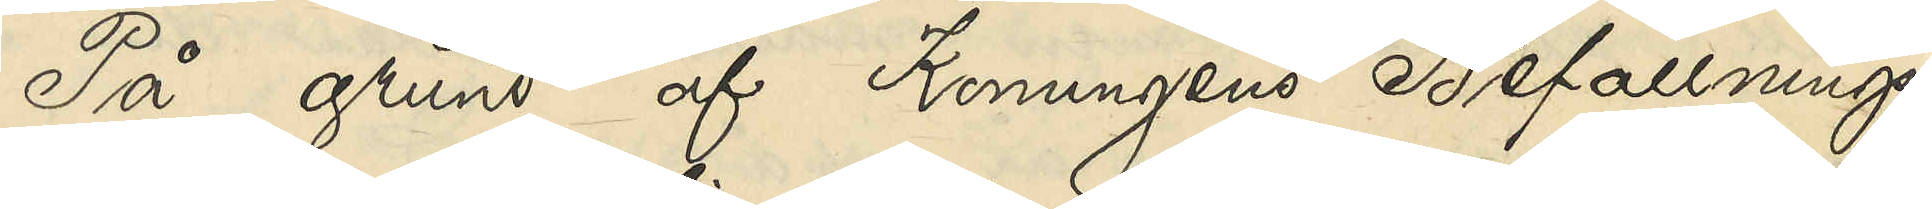På grund af Konungens Befallnings¬
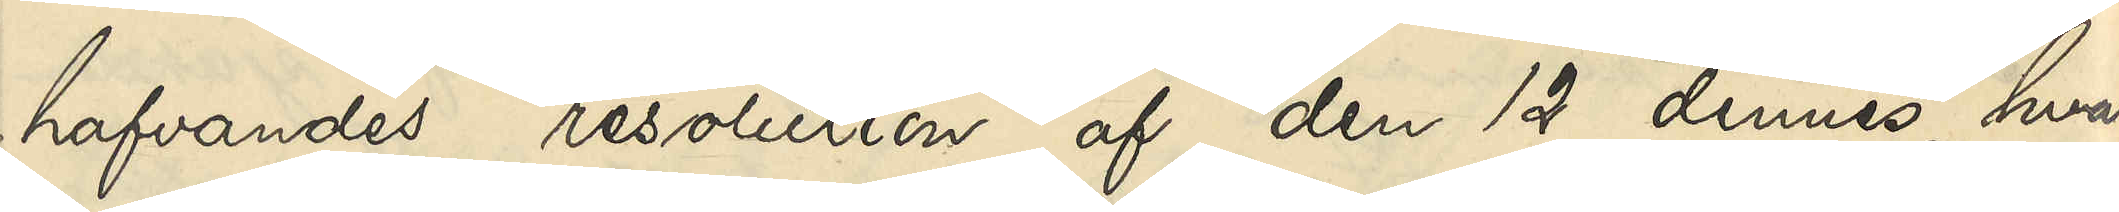hafvandes resolution af den 12 dennes, hvari¬
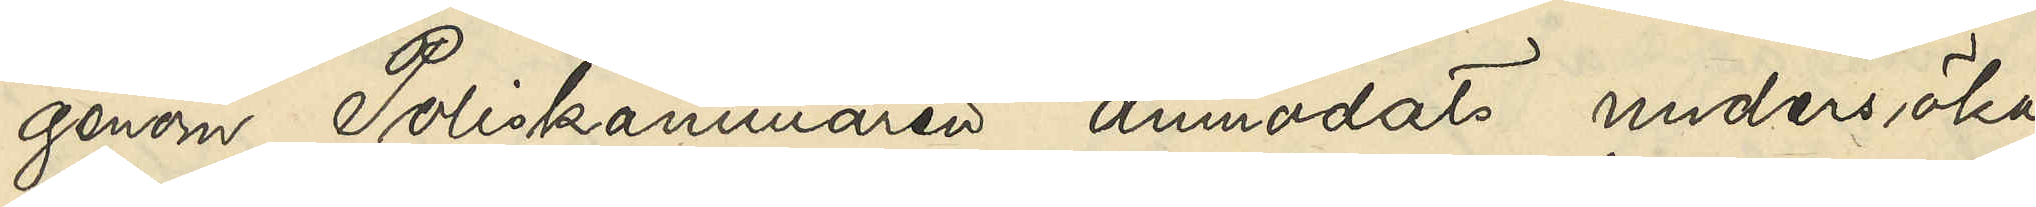genom Poliskammaren anmodats undersöka
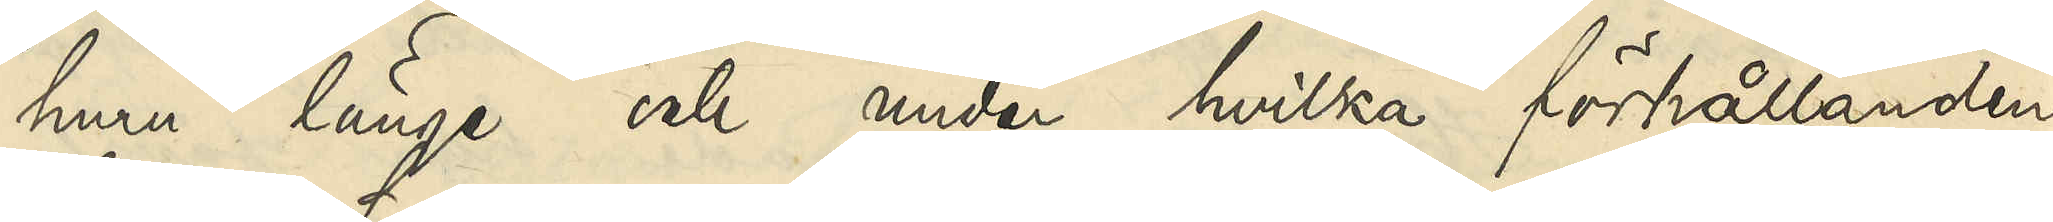huru länge och under hvilka förhållanden
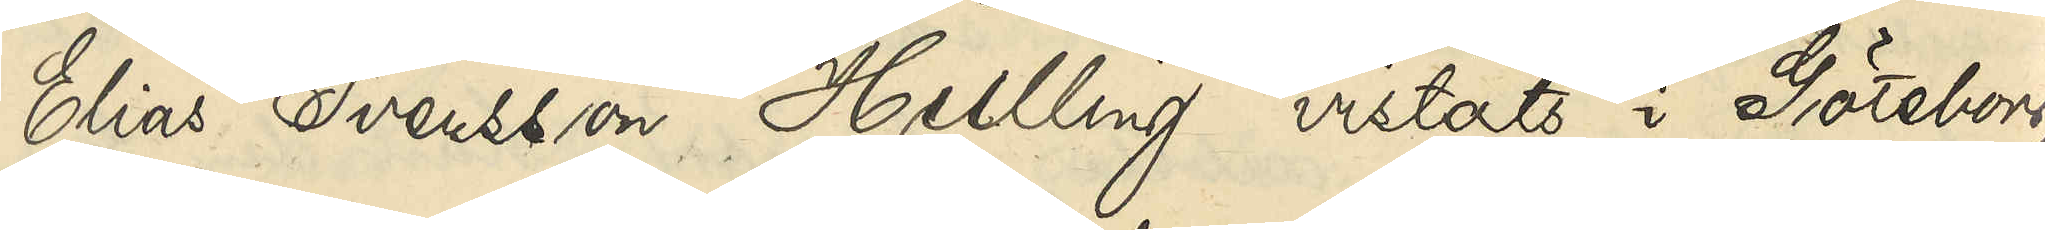Elias Svensson Hulling vistats i Göteborg,
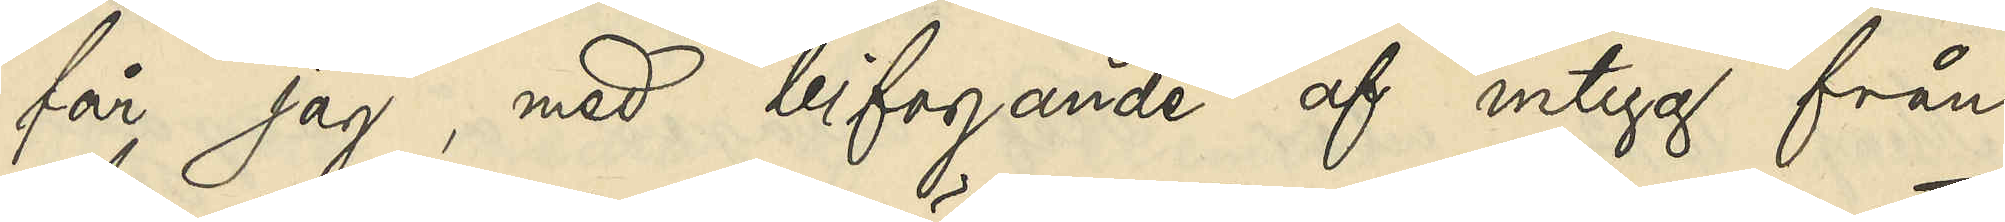får jag, med bifogande af intyg från
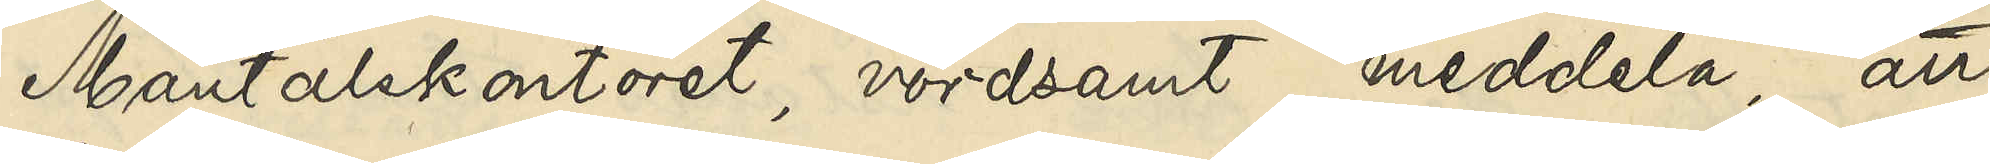Mantalskontoret, vördsamt meddela att
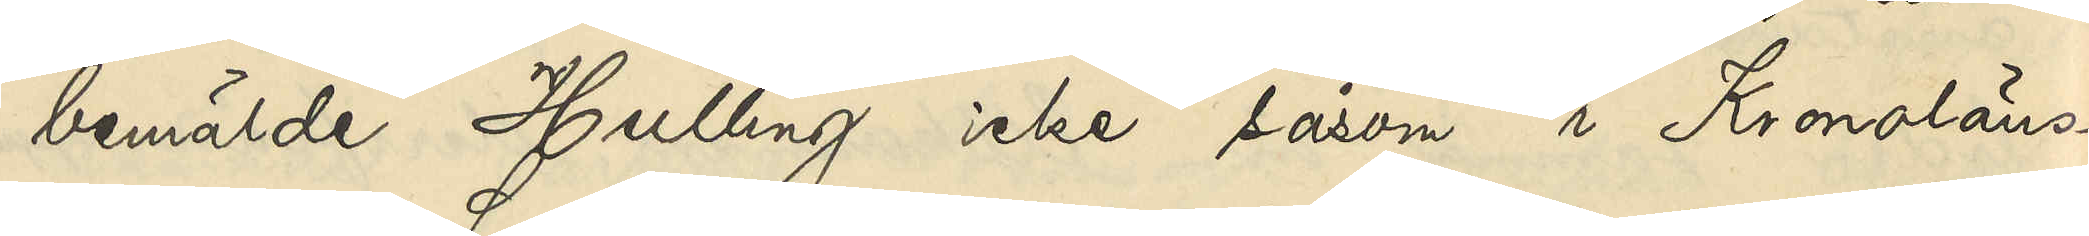bemälde Hulling icke såsom i Kronoläns¬
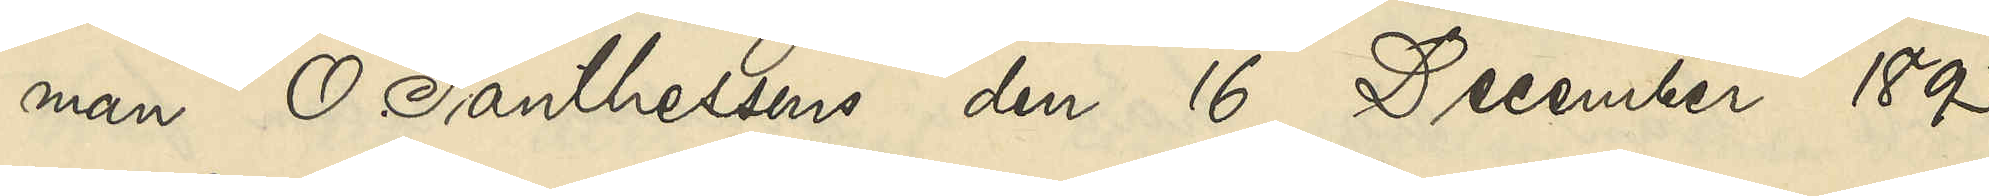man O. Santhessons den 16 December 1893
